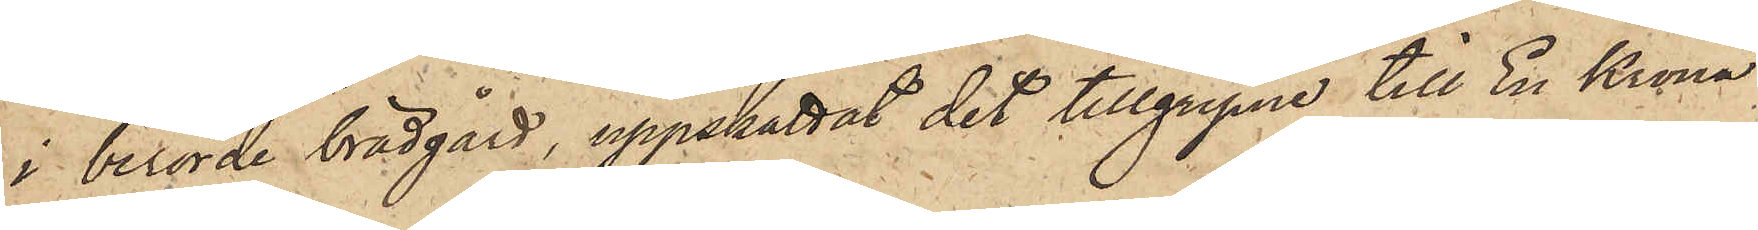i berörde brädgård, uppskattat det tillgripne till En Krona
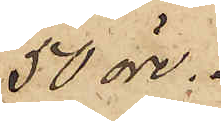50 öre.
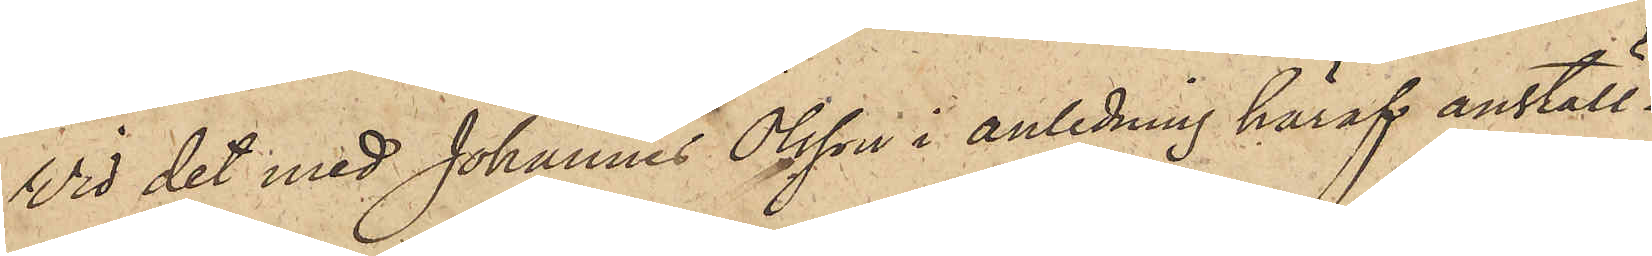Vid det med Johannes Olsson i anledning häraf anställ¬
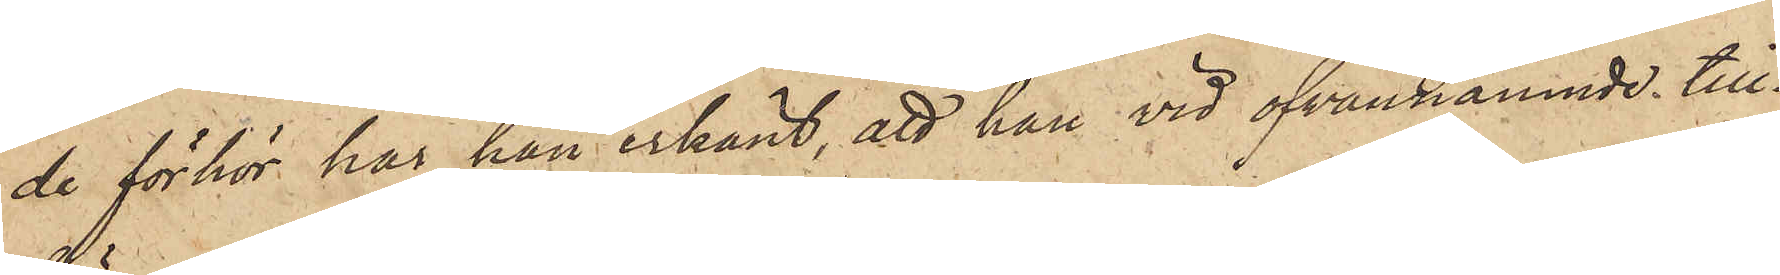de förhör har han erkänt, att han vid ofvannämnde till¬
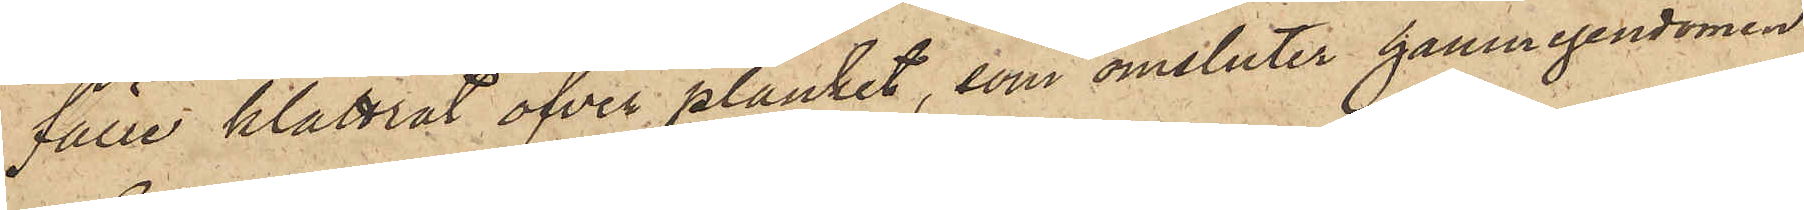fälle klättrat öfver planket, som omsluter hamnegendomen
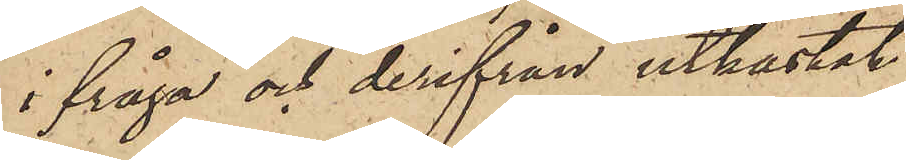ifråga och derifrån utkastat
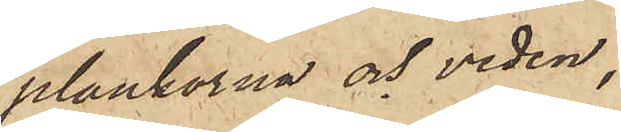plankorna och veden,
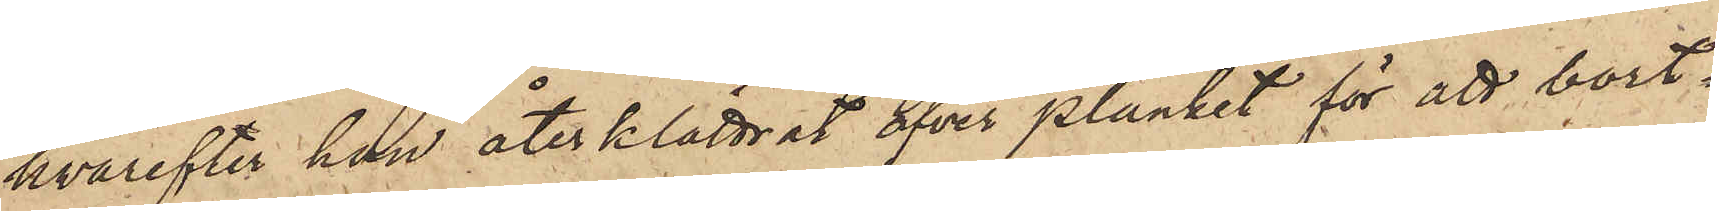hvarefter han åter klättrat öfver planket för att bort¬
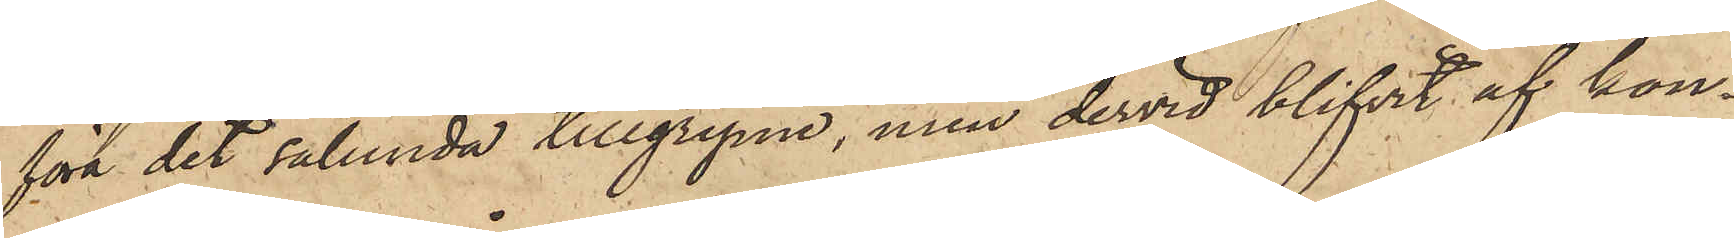föra det sålunda tillgripne, men dervid blifvit af kon¬
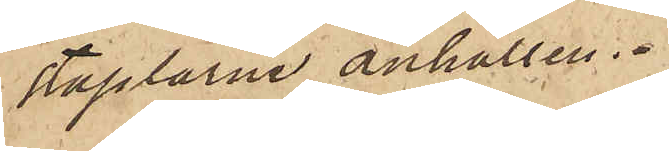staplarne anhållen.
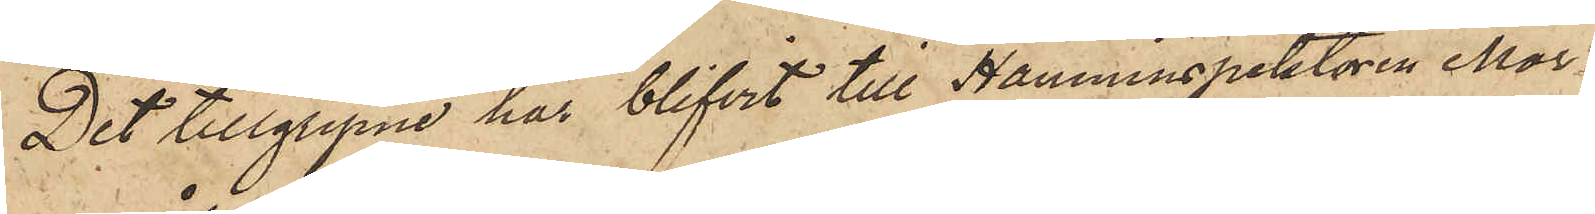Det tillgripne har blifvit till Hamninspektören Mor¬
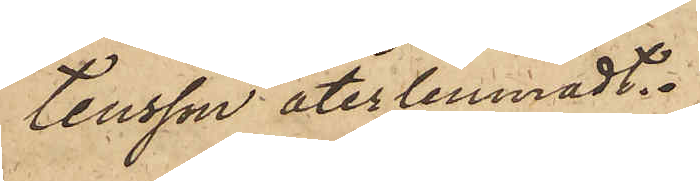tensson återlemnadt.
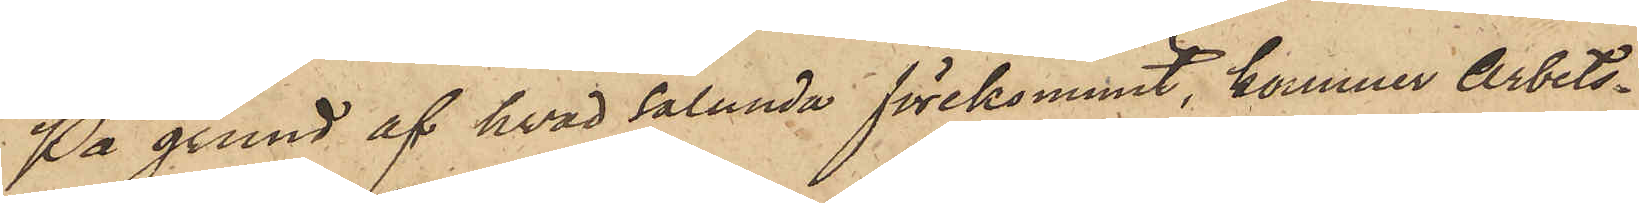På grund af hvad sålunda förekommit, kommer Arbets¬
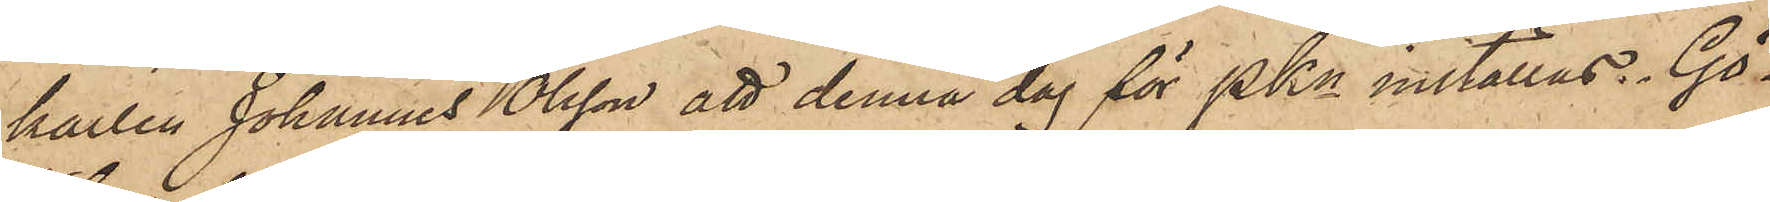karlen Johannes Olsson att denna dag för PKn inställas. Gö¬
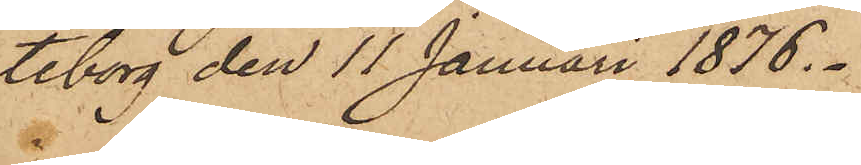teborg den 11 Januari 1876.
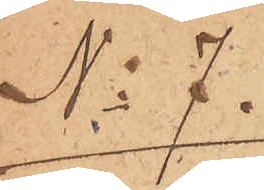No 7.
